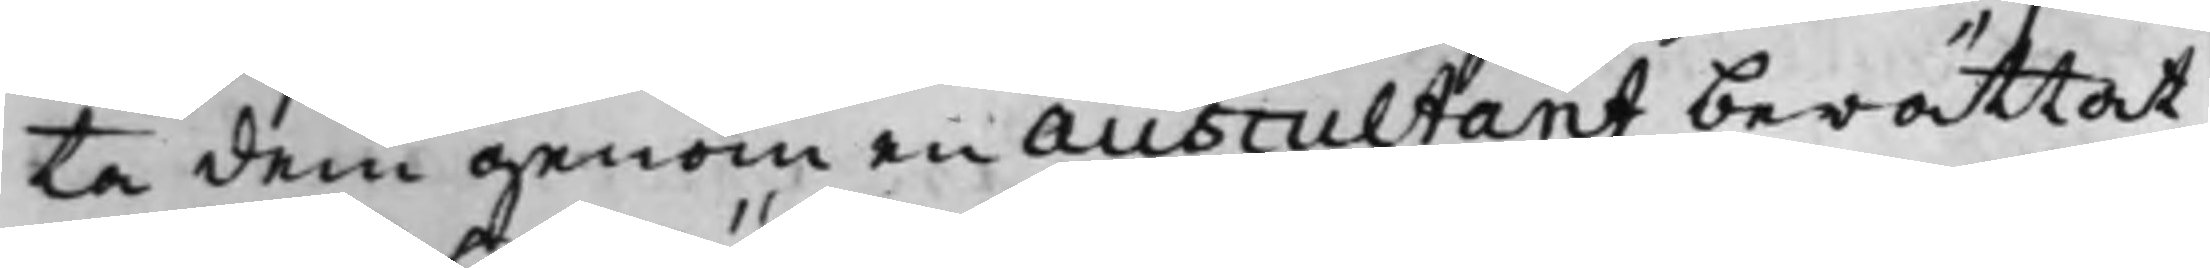ta dem genom en Auscultant berättat
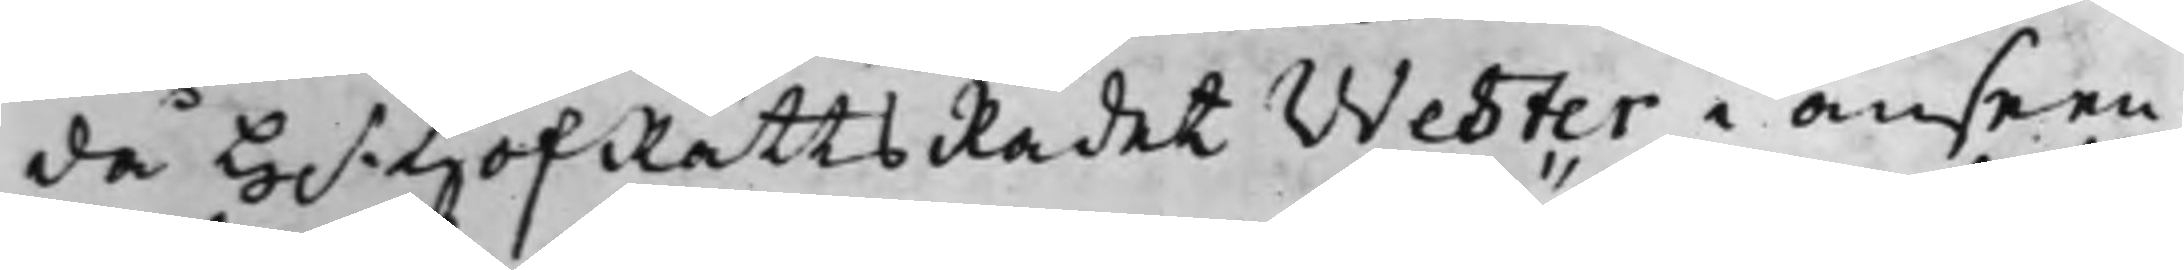då H.r HofRättsRådet Wester i anseen¬
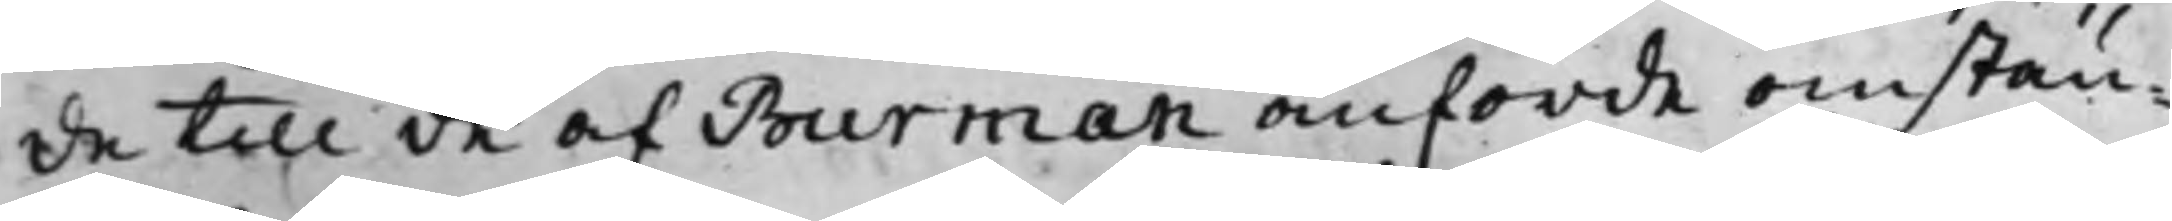de till de af Burman anförde omstän¬
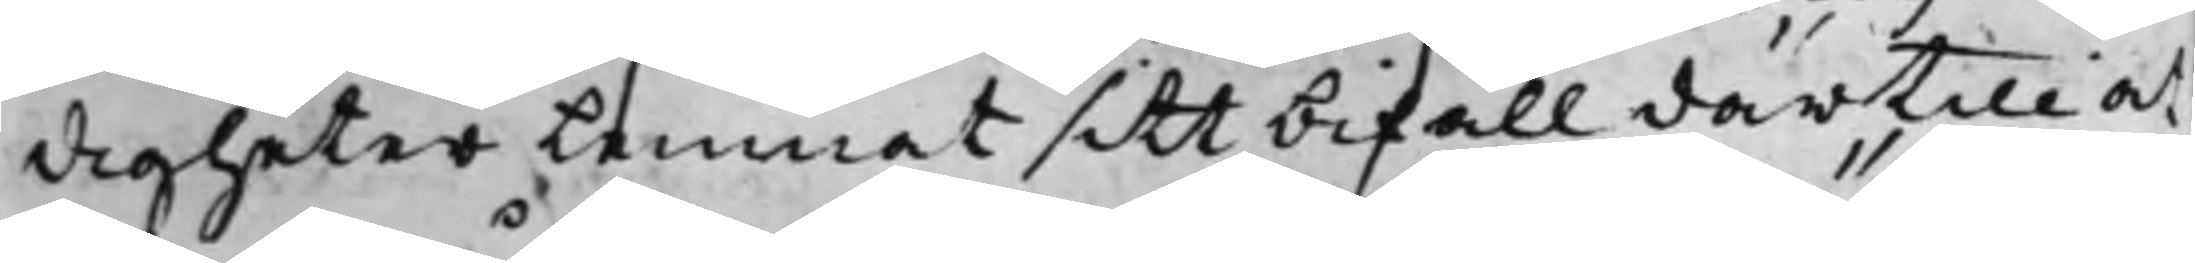digheter Lemnat sitt befall därtill at
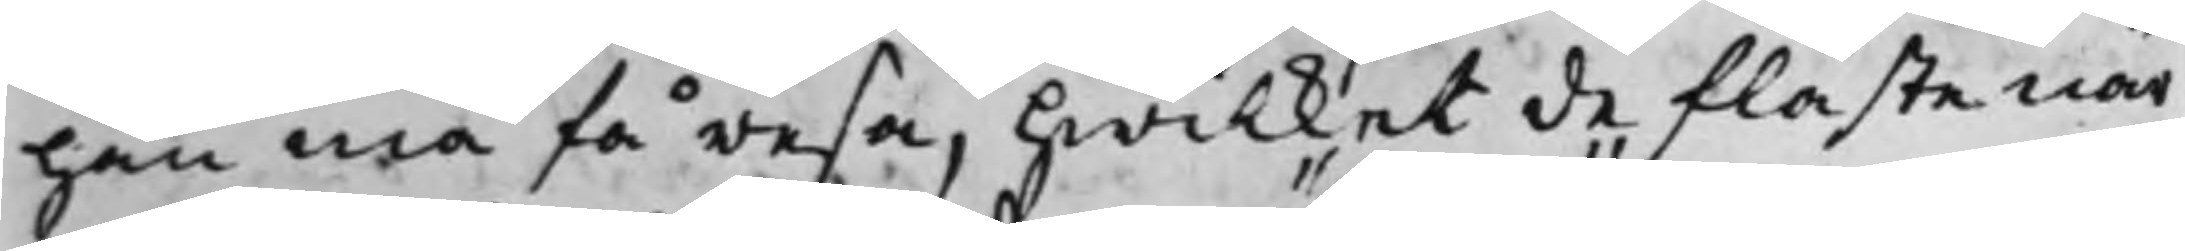han må få resa, hwilket de fläste när¬
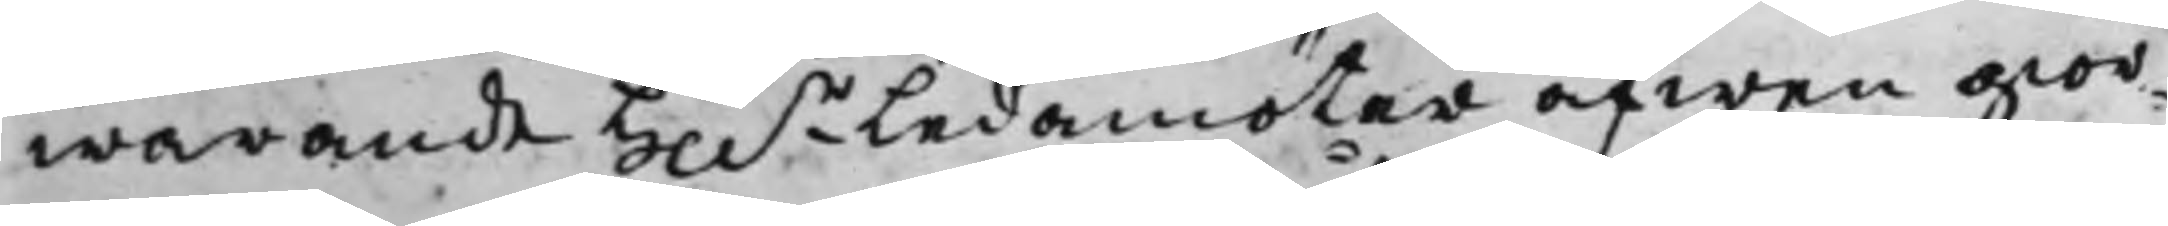warande Hh.r Ledamöter äfwen gior¬
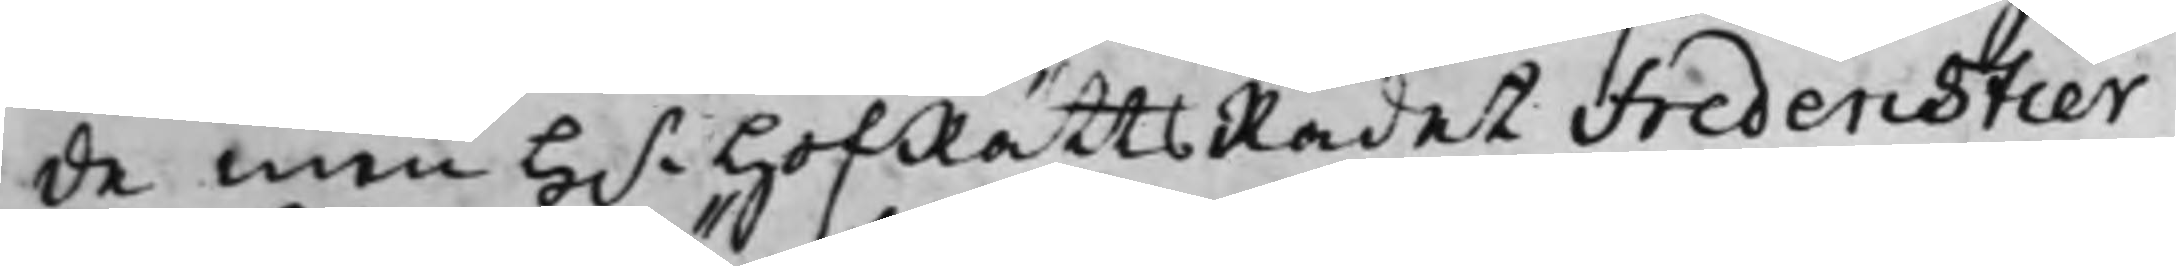de men H.r HofRättsRådet Fredenstier¬
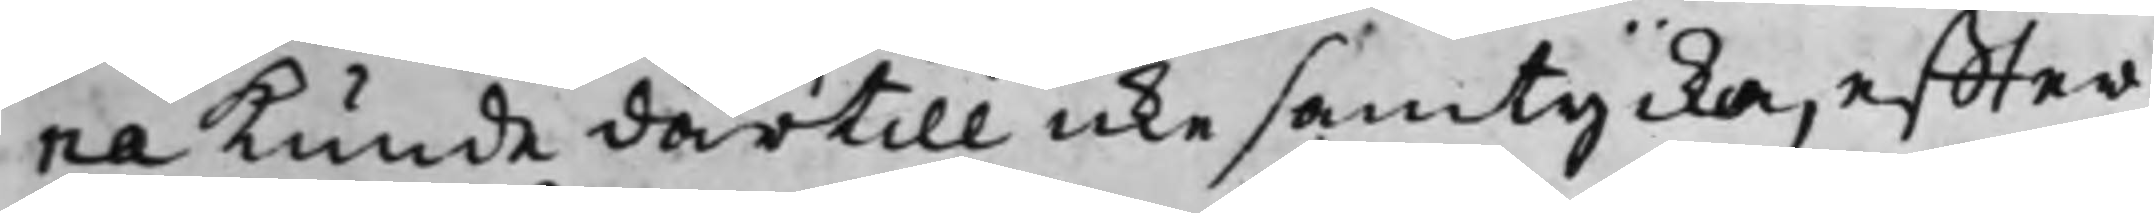na kunde därtill icke samtycka, effter
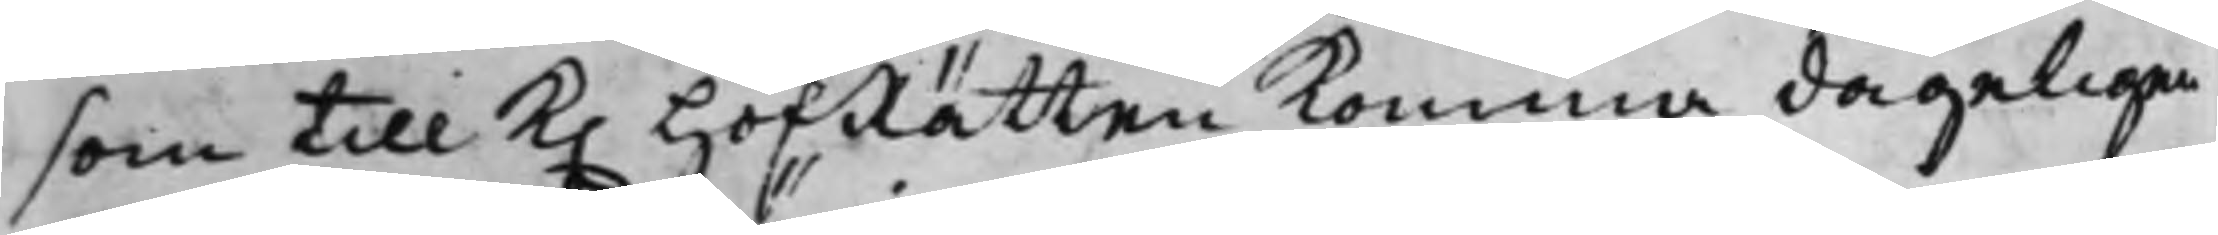som till K. HofRätten Komma dageligen
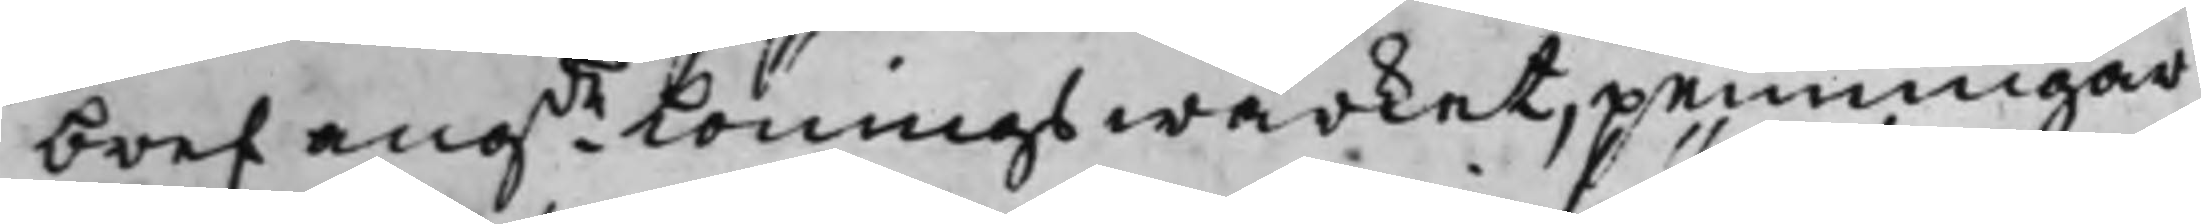bref angde Löningswärket, penningar
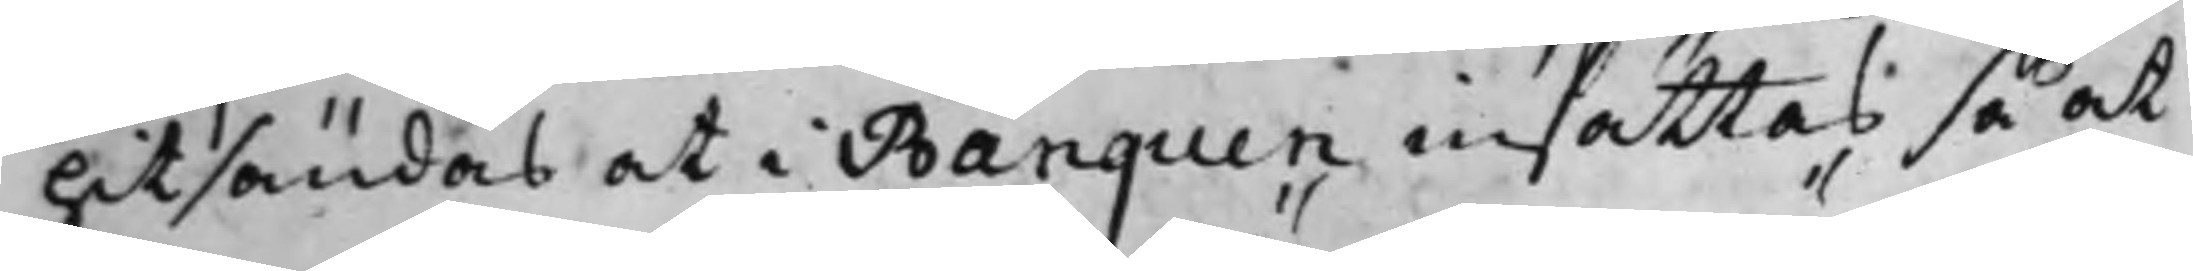hitsändas at i Banquen insättas så at
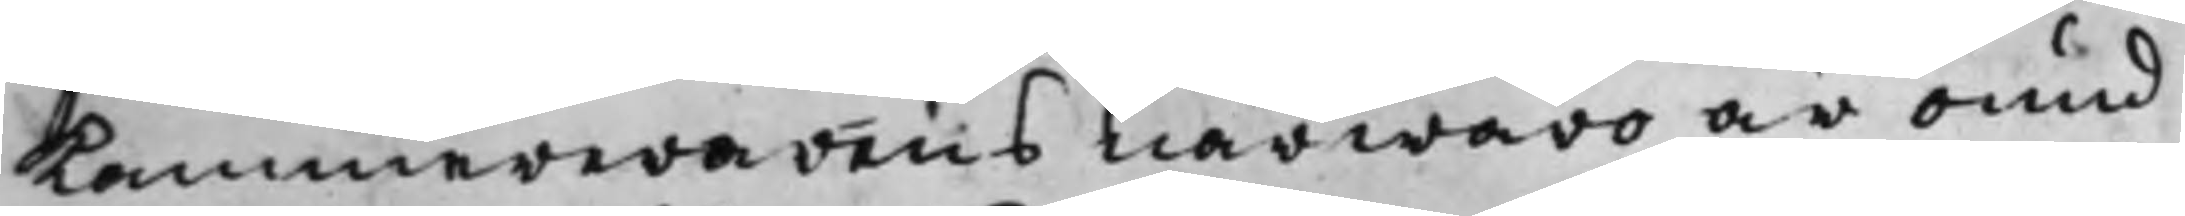Kammererarens närwaro är ound¬
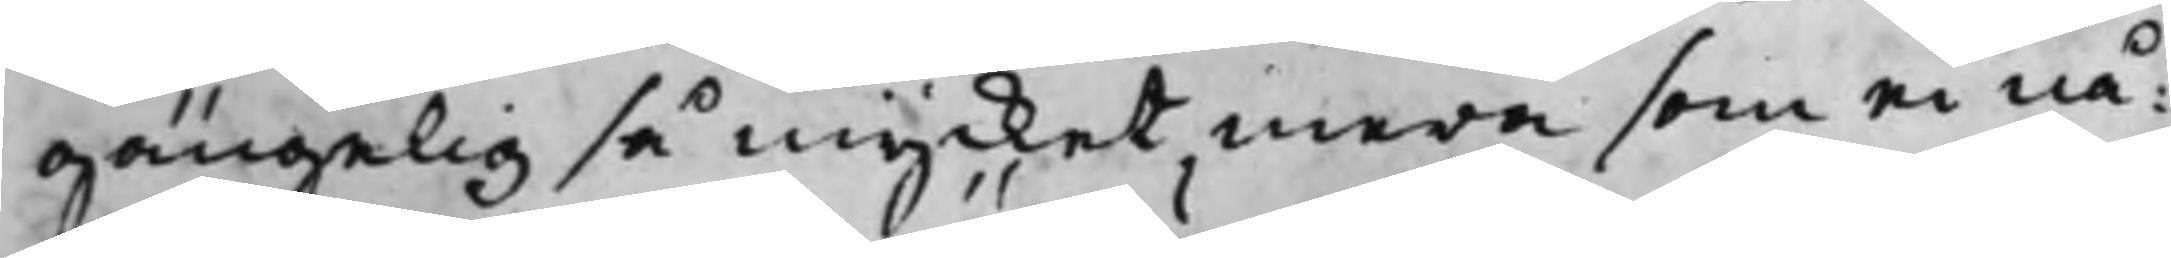gängelig så mycket mera som ei nå¬
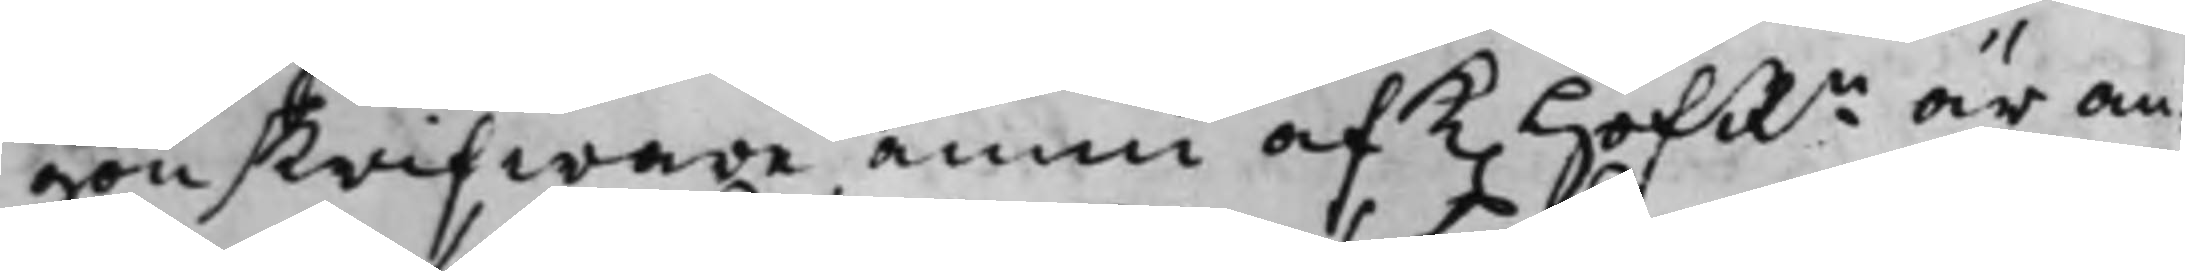gon skrifware ännu af K. HofRn är an¬
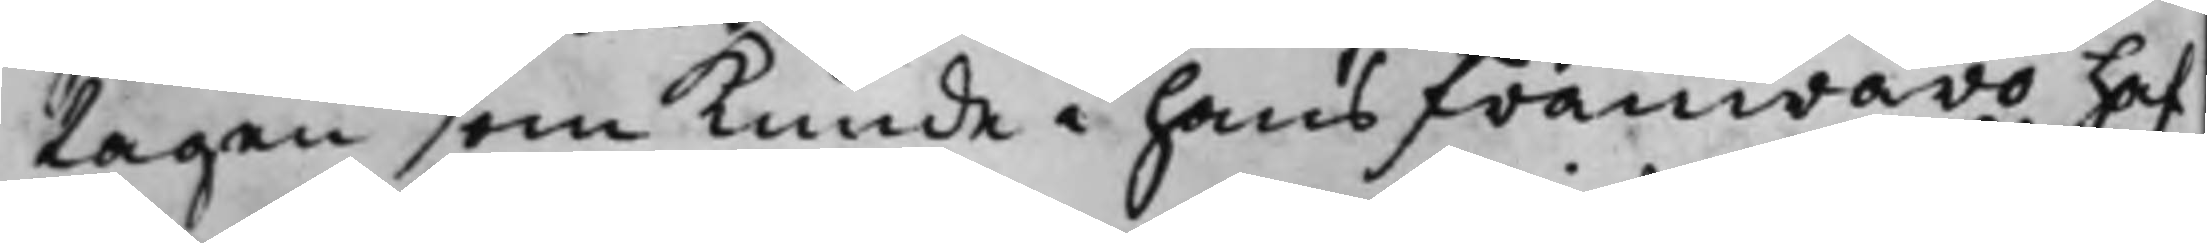tagen som kunde i hans frånwaro haf¬
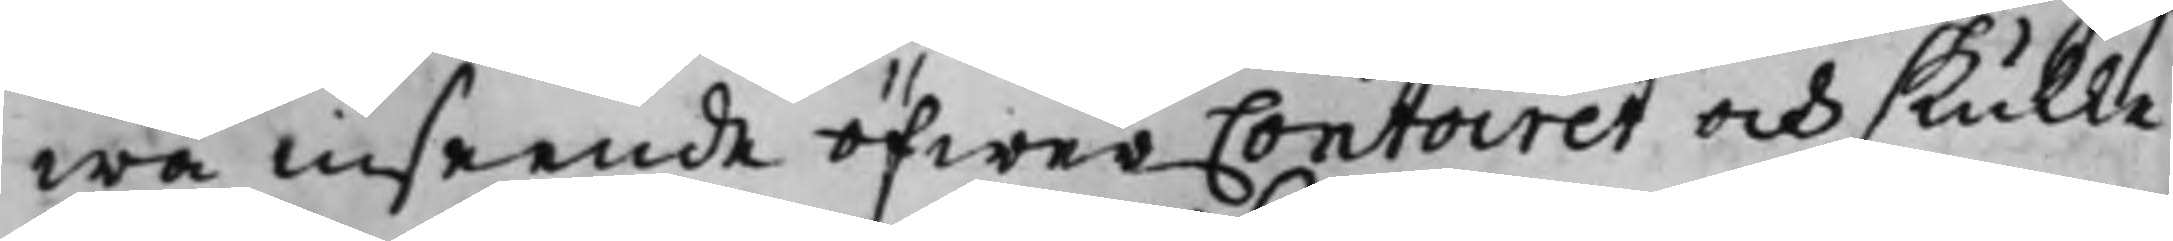wa inseende öfwer Contoiret och skulle
